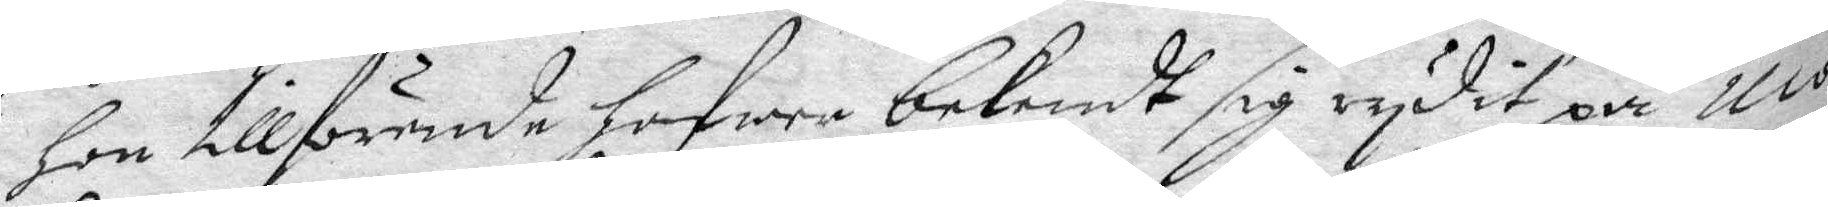Hon tillförende hafwer bekendt sig rydit på mo¬
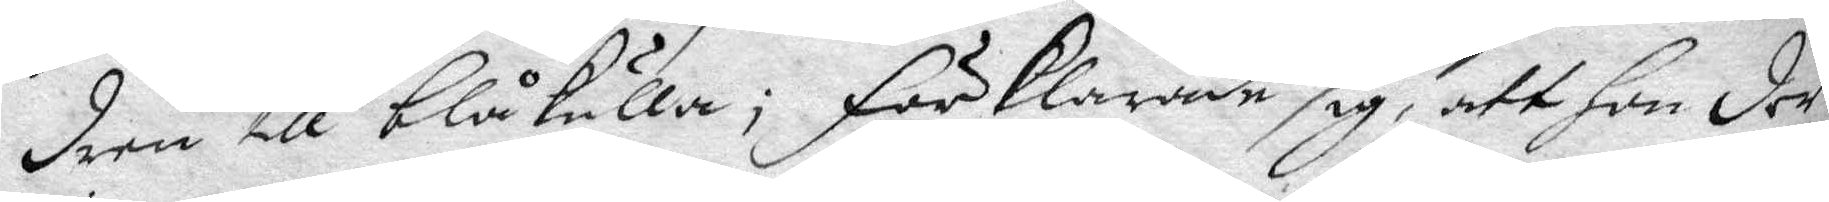dren till blåkulla; förklarade sig, att hon der
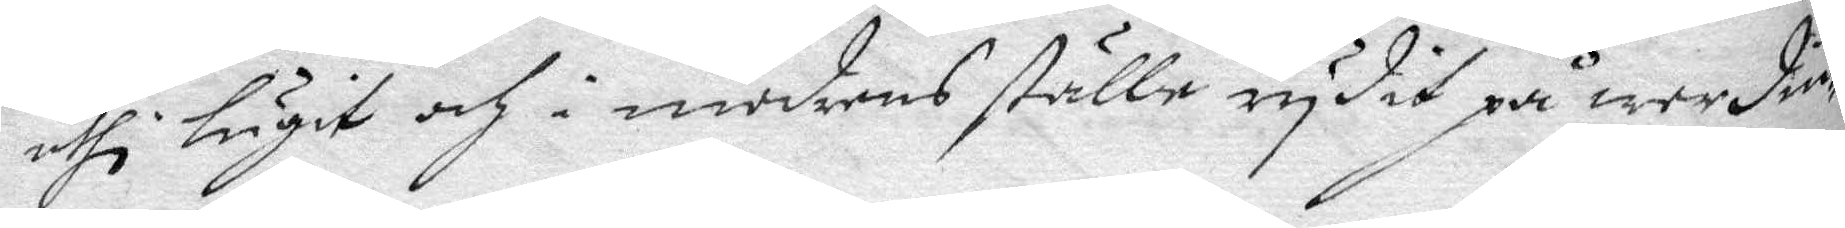uthi lugit och i modrens ställe rydit på werdin
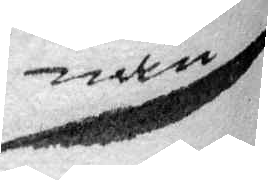nan
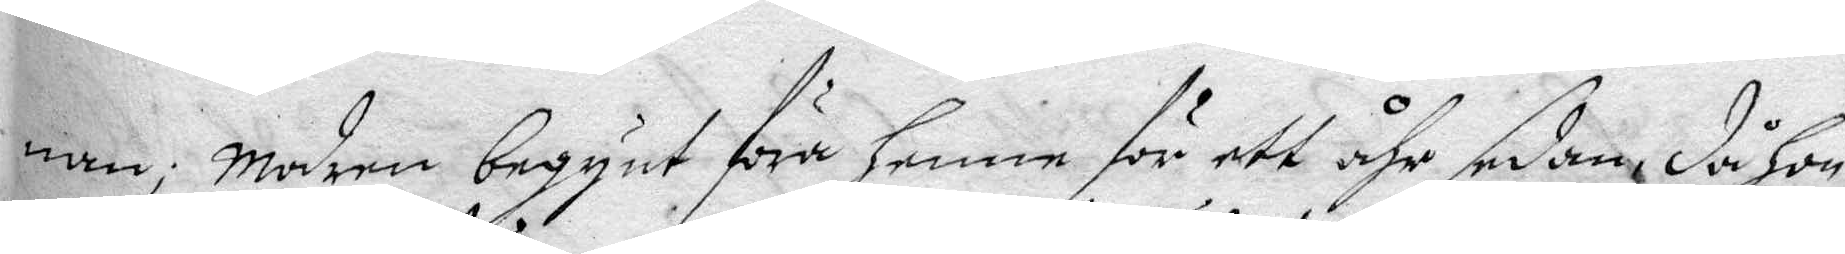nan; Modren begynt föra henne för ett åhr sedan, då hon
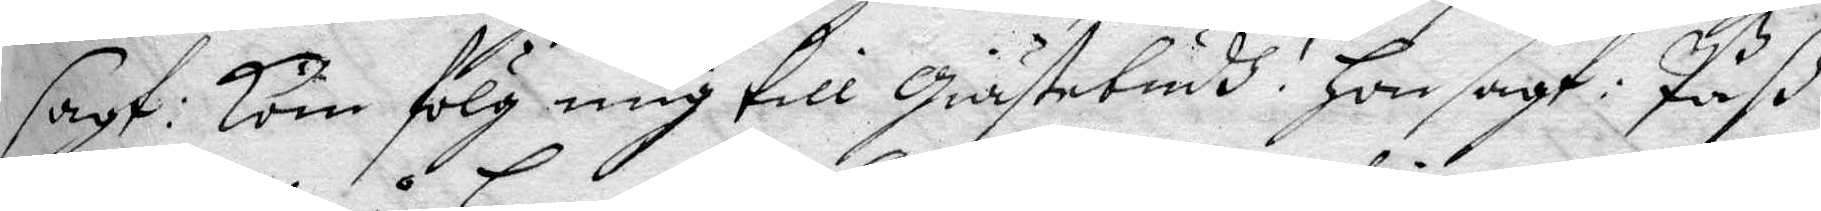sagt: kom fölg mig till Giästebudh! Hon sagt: Paß
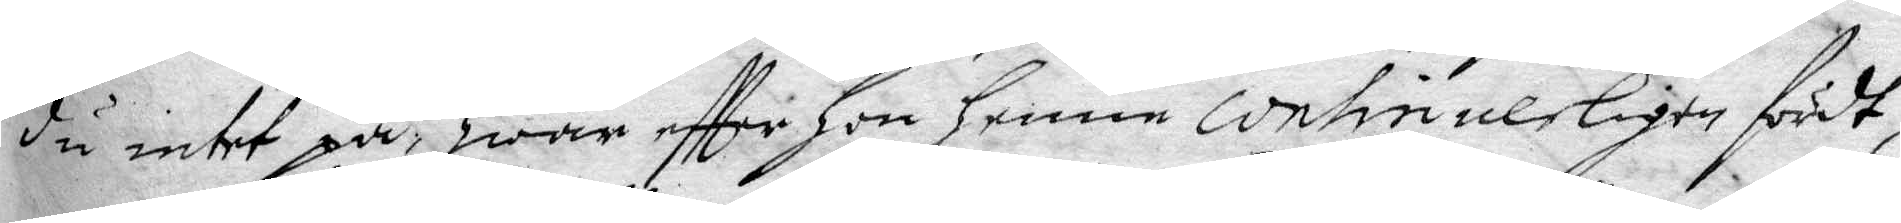du intet på, Hwar effter hon henne continuerligen fördt,
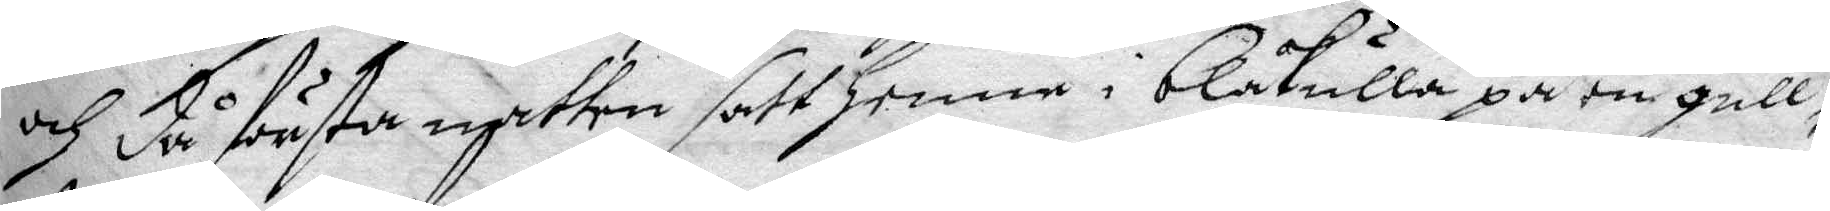och då första natten satt henne i blåkulla på en gull¬
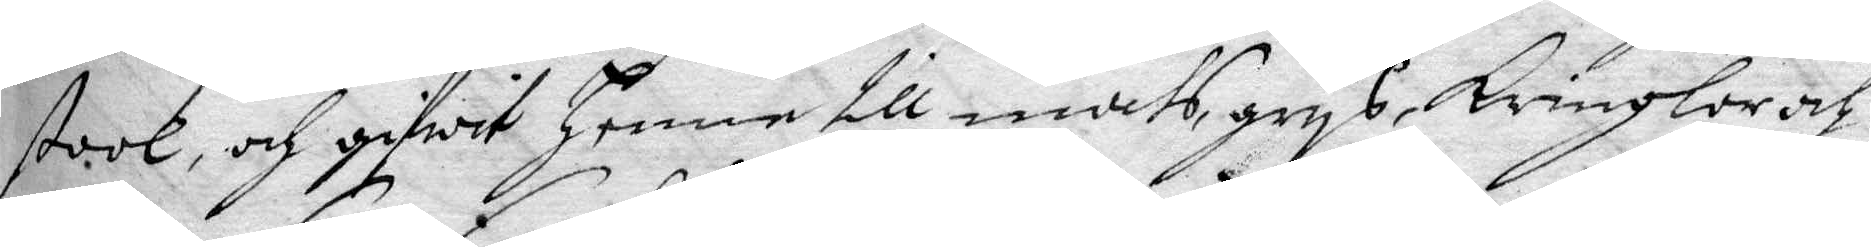stool och gifwit henne till mats, grys, Kringlor och
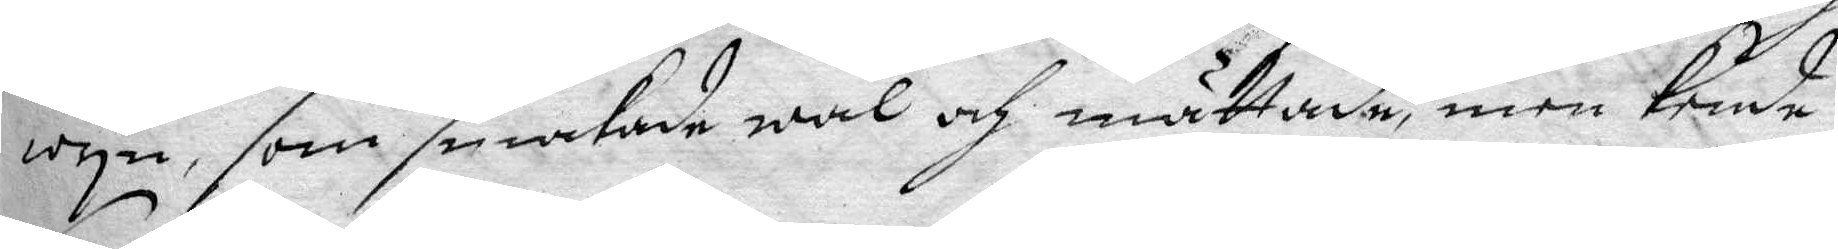wyn, som smakade wäl och mättade, men kende
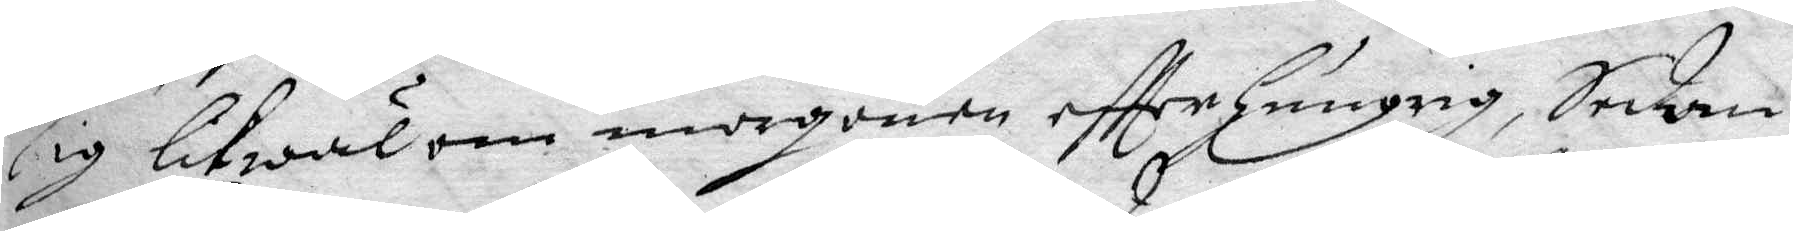sig likwäl om morgonen eftter hungrig, Sedan
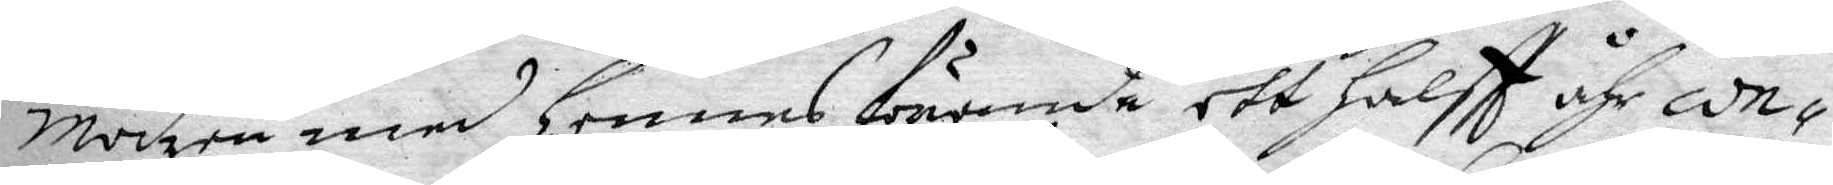Modren med Hennes förande ett halftt åhr con¬
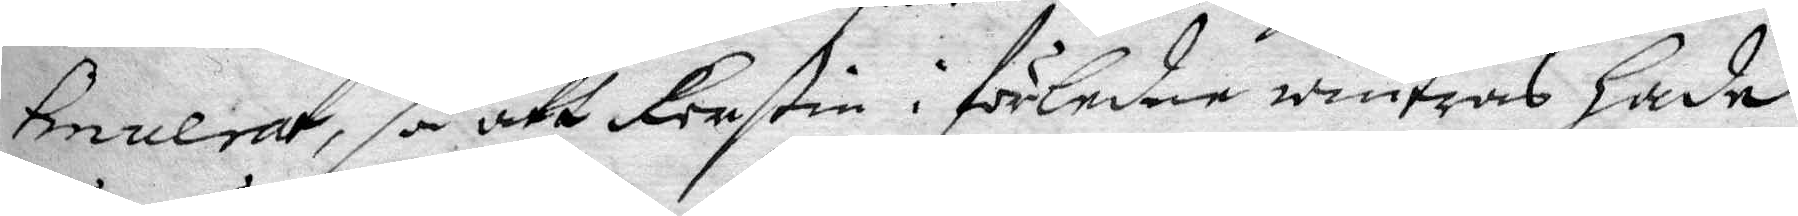tinuerat, så att Kerstin i förledne wintras hade,
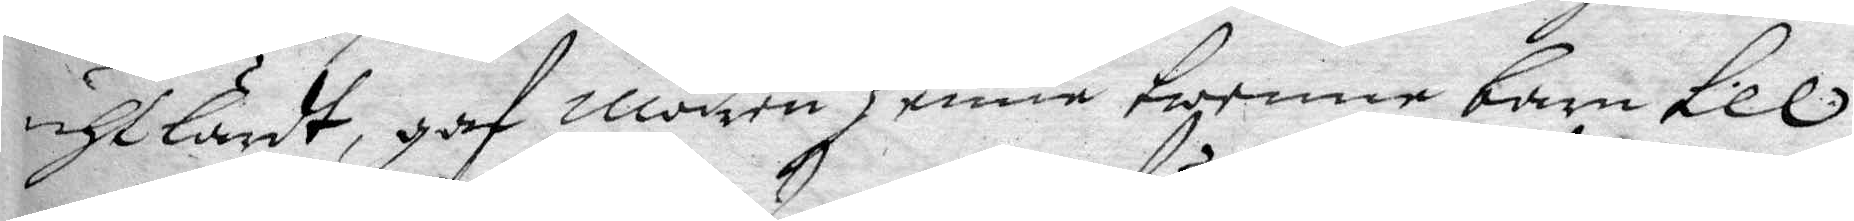uhtlärdt, gaf moden henne twenne barn till
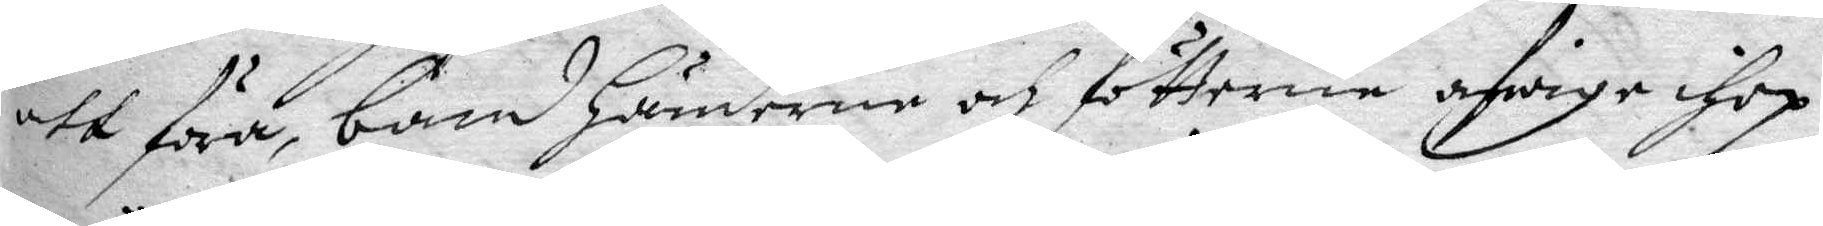att föra, band Händerne och fötterna afwige ihop
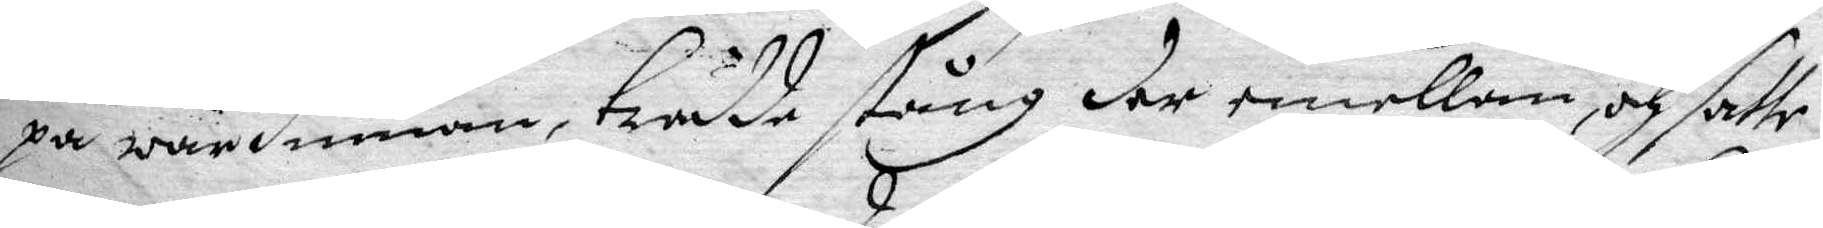på wärdinnan, trädde stång der emellan, och satte
